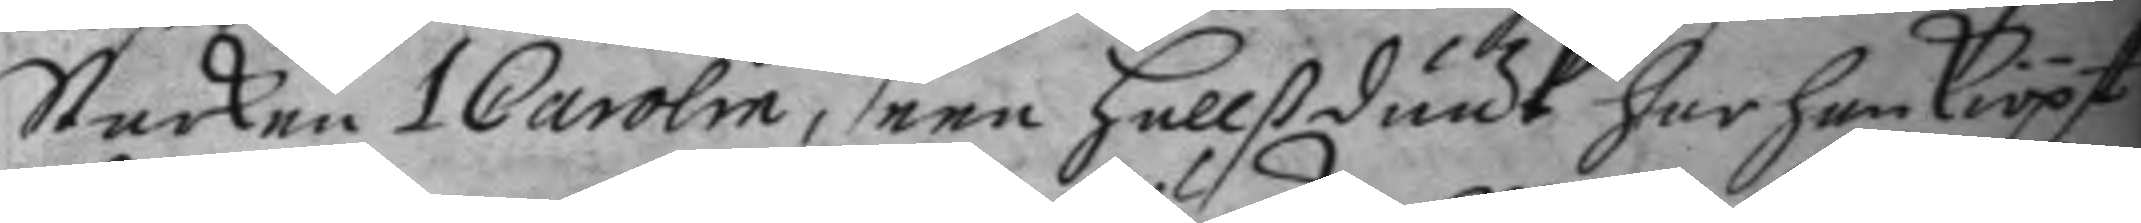Starken 1 Carolin, men hallßduuk har han kiöpt
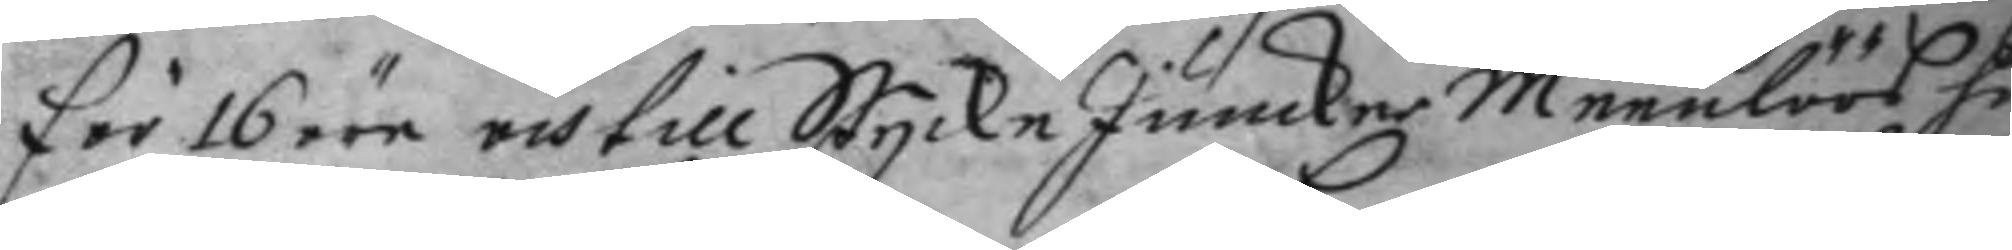för 16 öre och till StyckeJuncker Meenlöös hustro
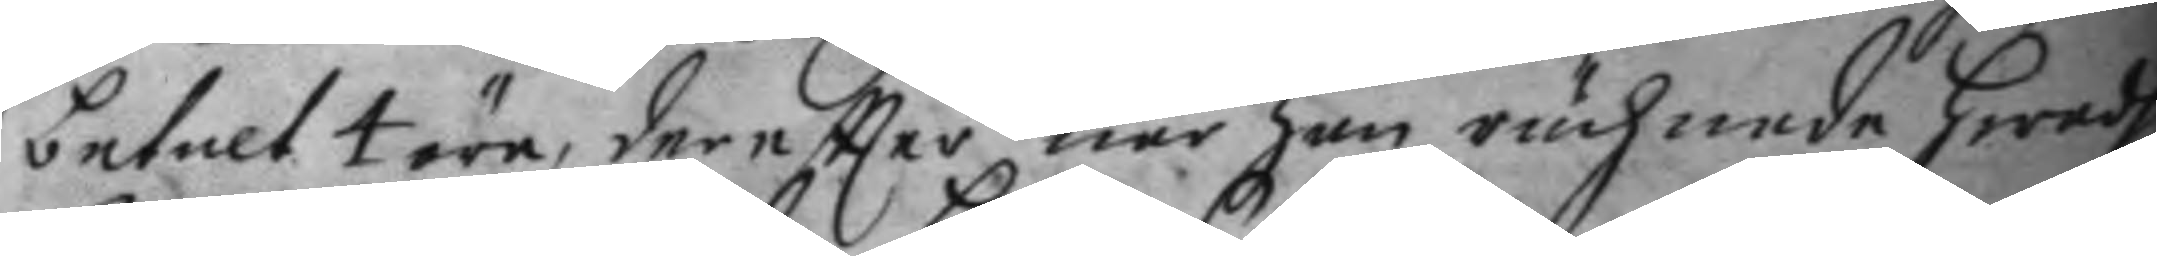betalt 4 öre, dereftter när han rächnade hwad
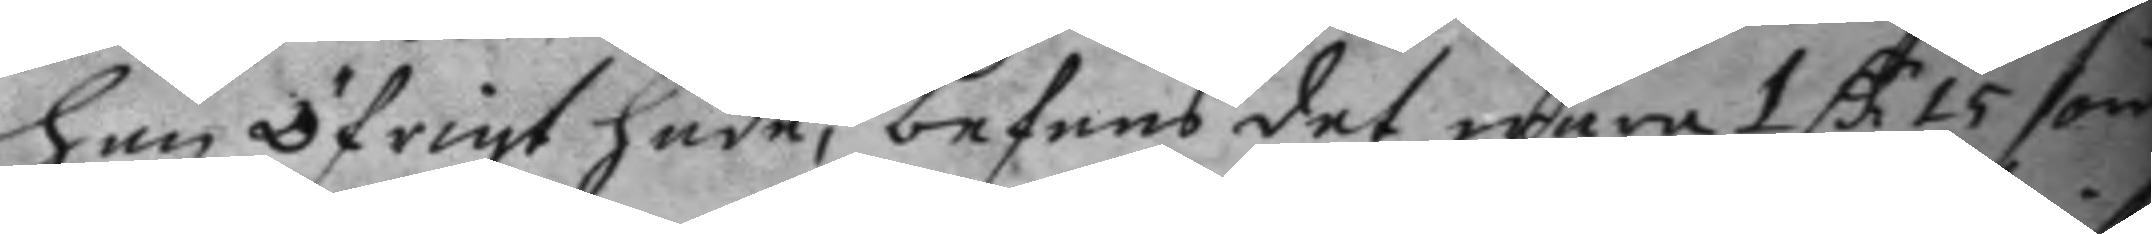han öfrigt hade, befans det wara 1 C 15 öre
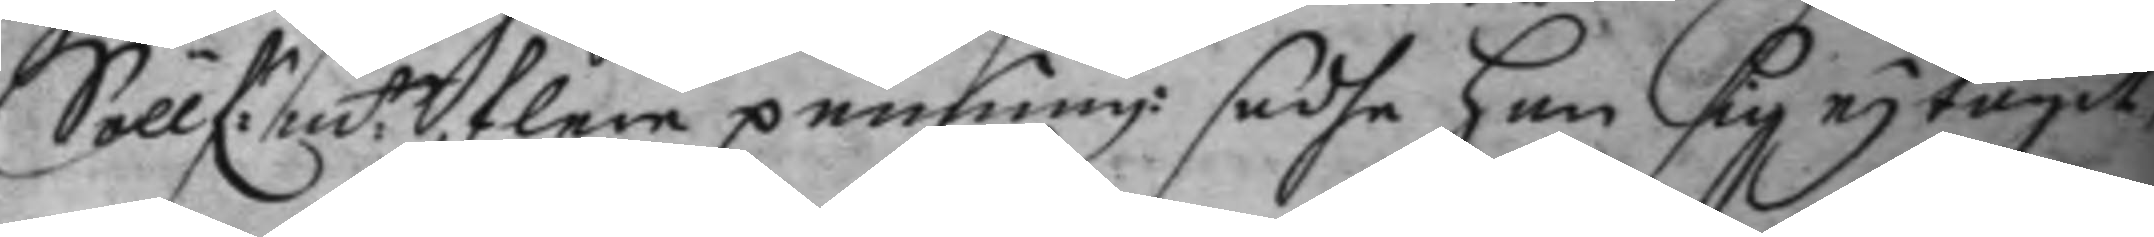Söllf:m:t, flere penning:r sadhe han sig ey tagit,
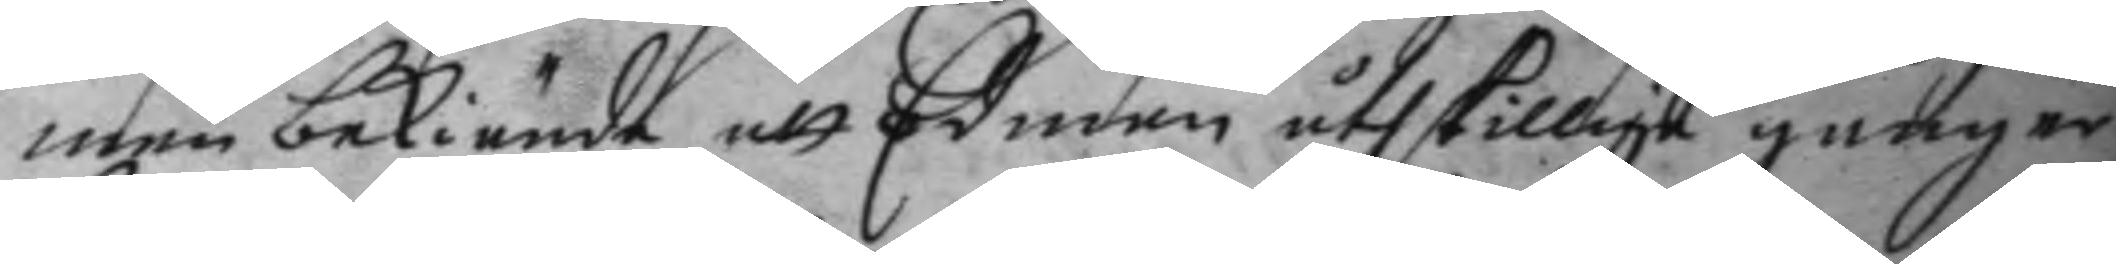men bekiände att Edman åthskillige gånger
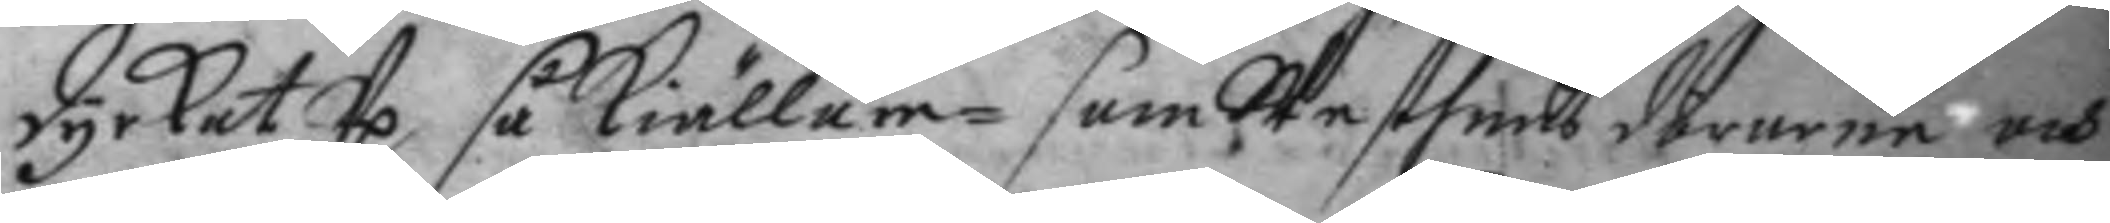dyrkat Up så kiällare- som Skaffens dörarna och
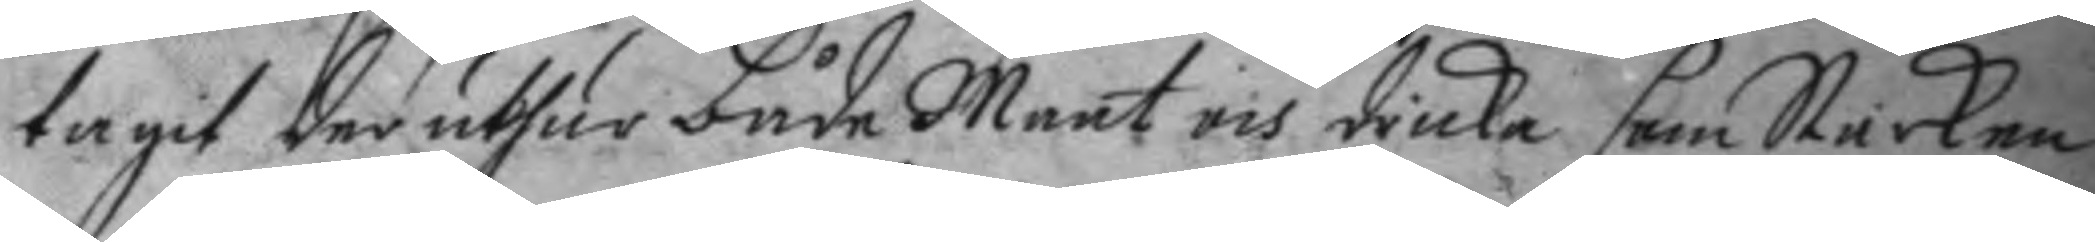tagit der uthur både maat och dricka som Starken
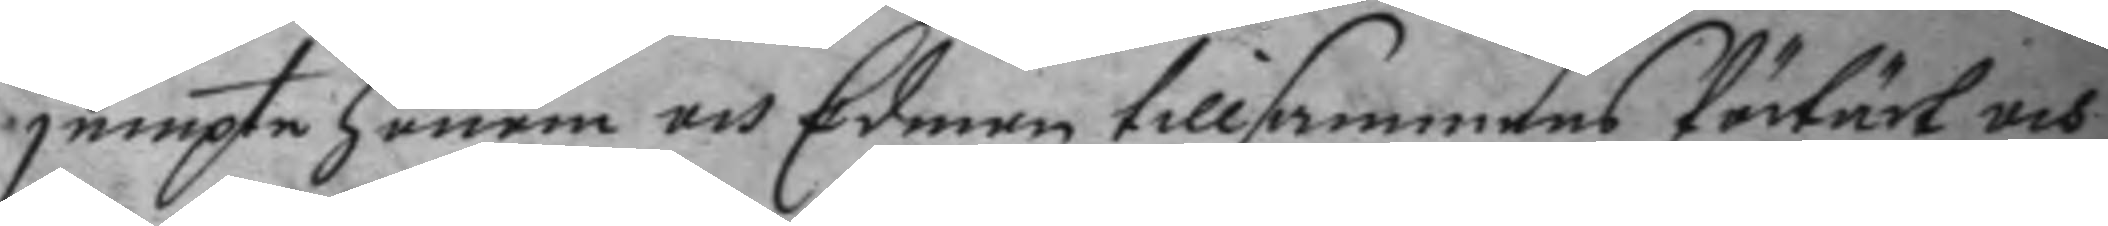jempte honom och Edman tillsammans förtärt och
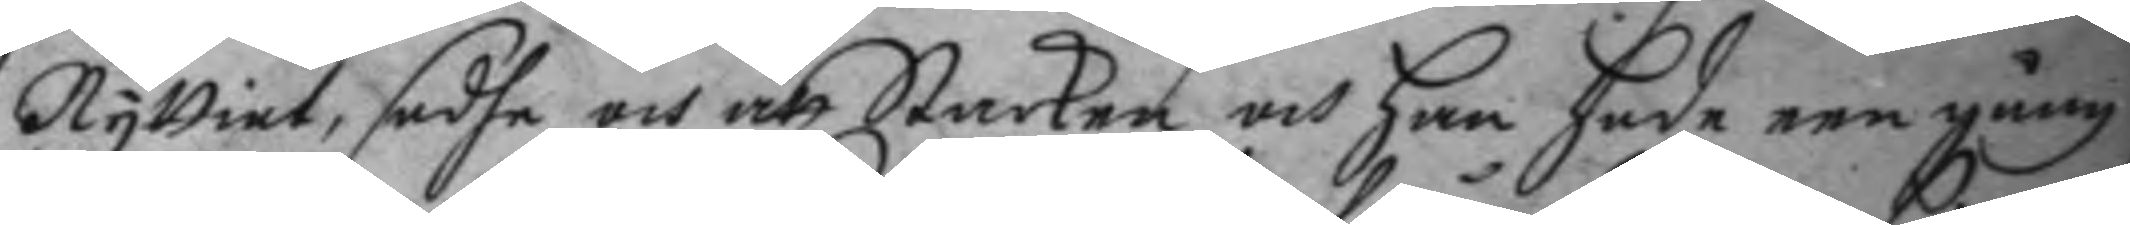nyttiat, sadhe och att Starken och han hade een gång
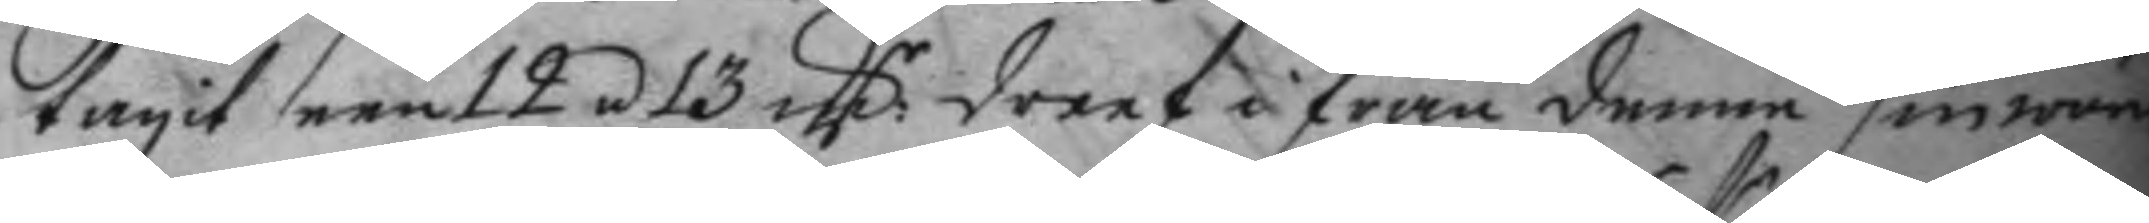tagit een 12 á 13 mm dreef i från denne sin wärd¬
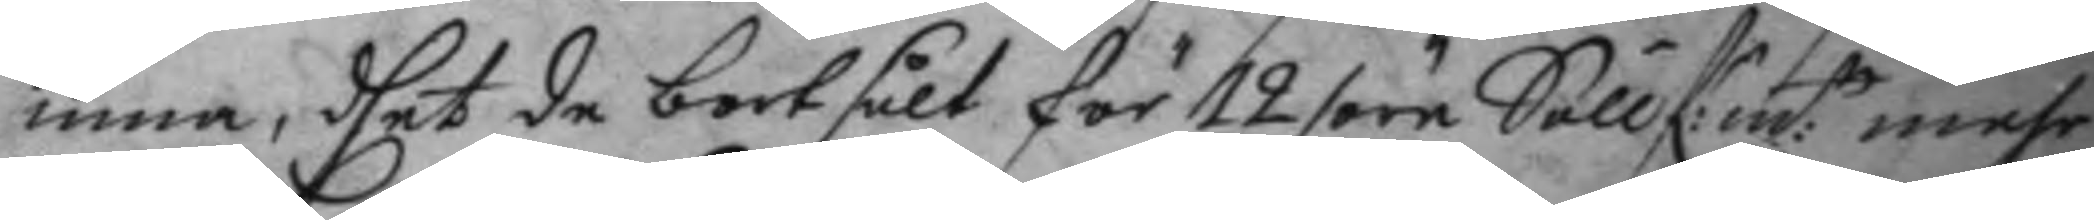inna, dhet de bortsålt för 12 öre Söllf:r:m:t mehr
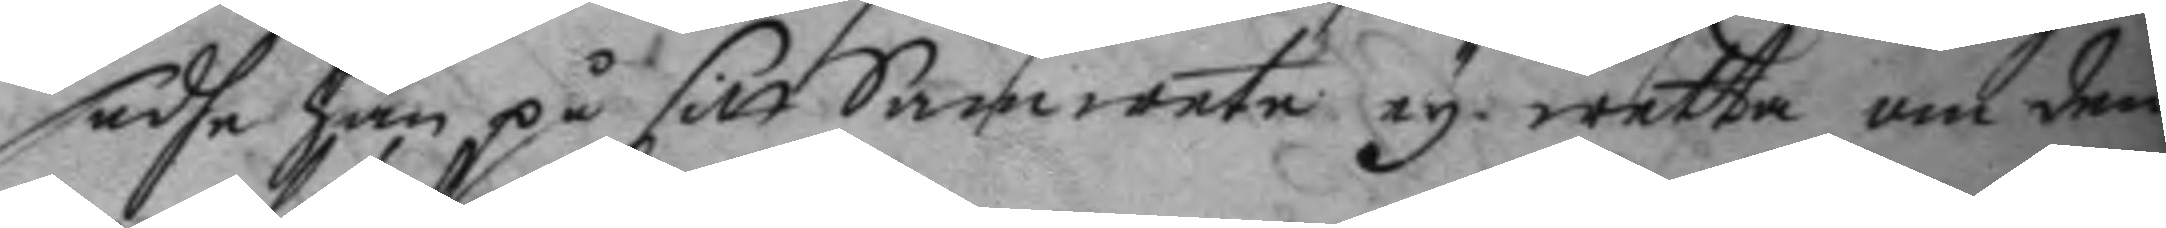sadhe han på sitt Samwete ey wetta om den¬
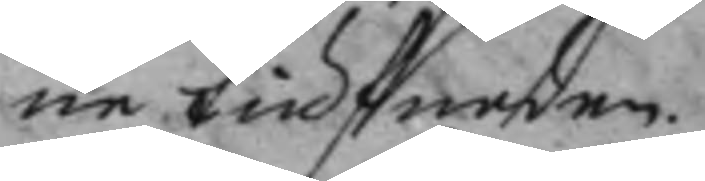ne tiufnaden.
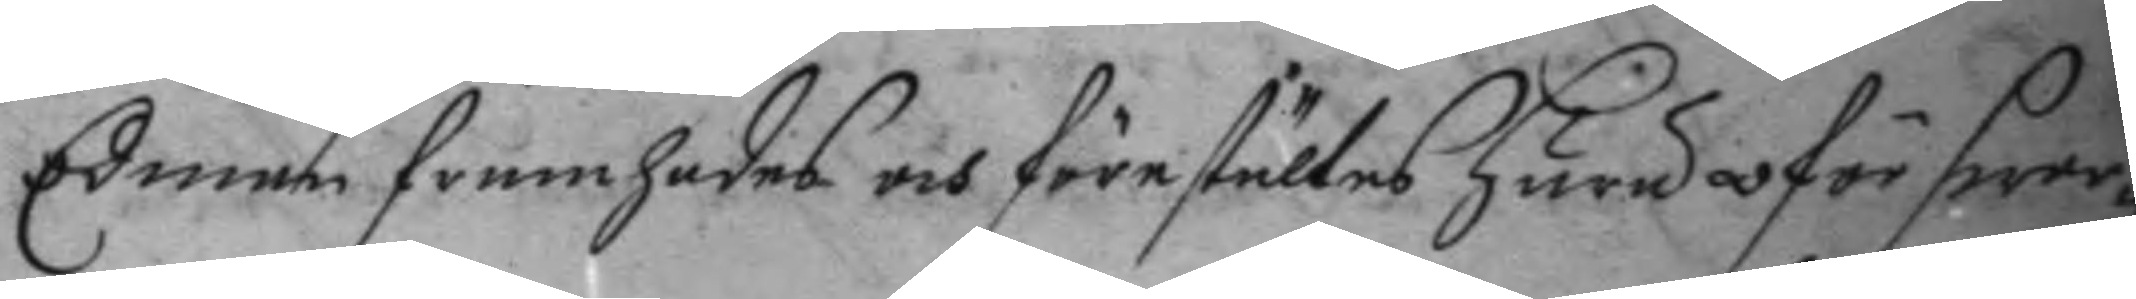Edman framhades och förestältes huru oförswar¬
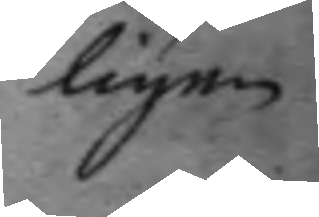ligen
